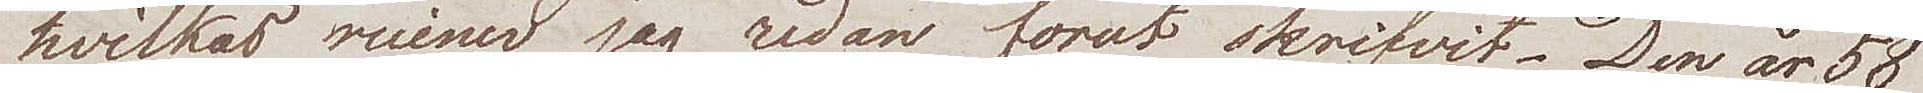hvilkas ruiner jag redan förut skrifvit. Den är 58
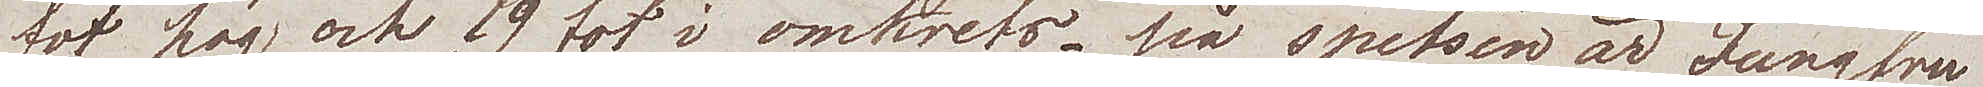fot hög och 19  fot i omkrets – på spetsen är Jungfru
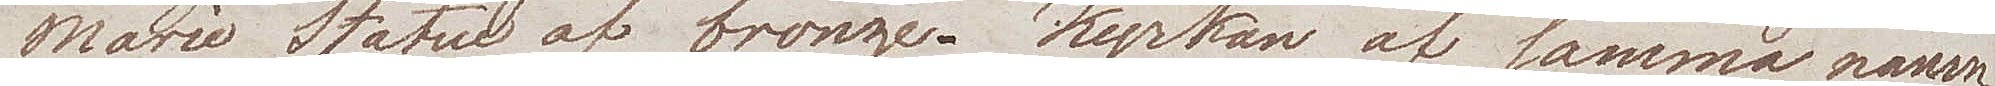Marie Statue af bronze. Kyrkan af samma namn
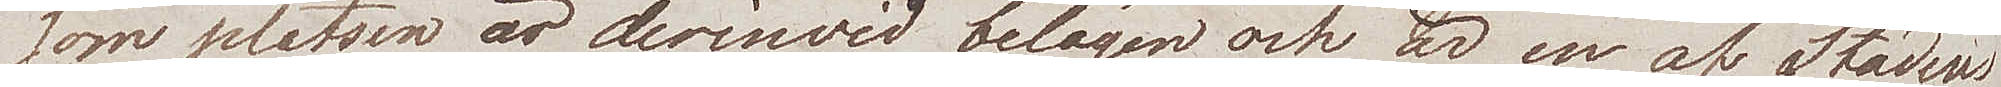som platsen är derinwid belägen och är en af Stadens
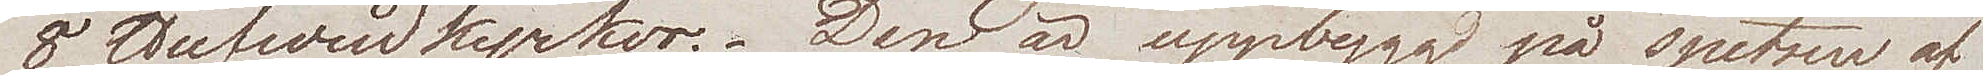8 Hufvudkyrkor. Den är uppbyggd på spetsen af
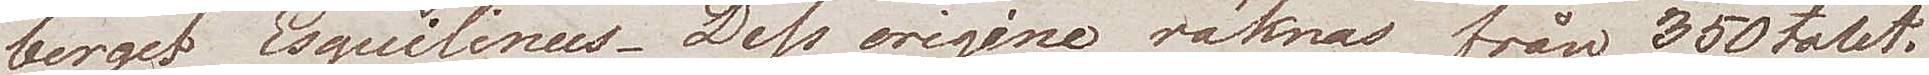berget Esquilinus. Dess origine räknas från 350-talet.
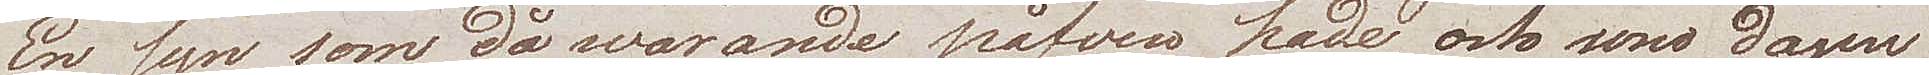En syn som dåwarande påfven hade, och som dagen
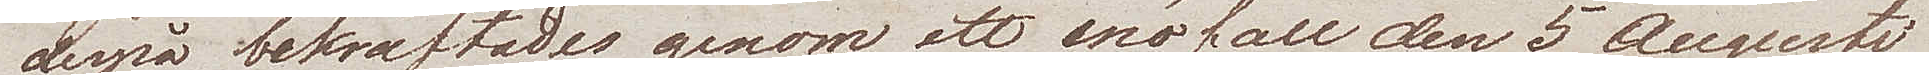derpå bekräftades genom ett snöfall den 5 augusti
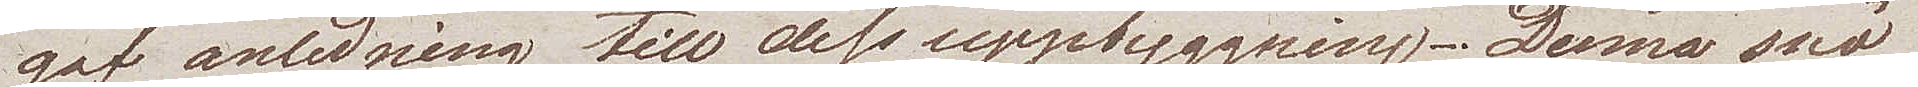gaf anledning till dess uppbyggning. Denna snö
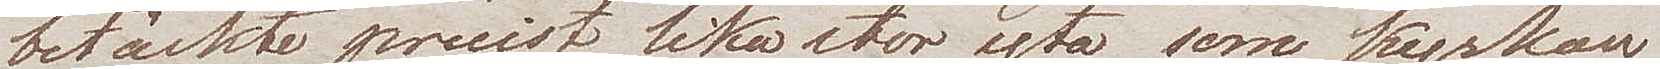betäckte precist lika stor yta som kyrkan
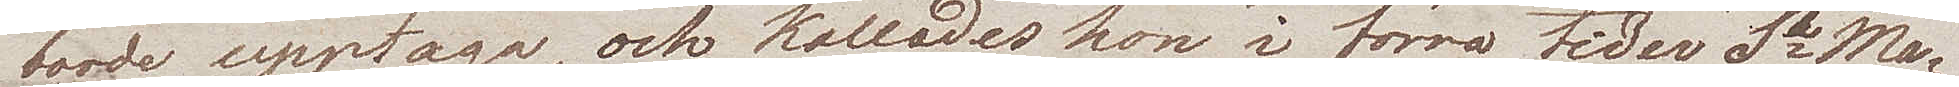borde upptaga, och kallades hon i förra tider Sta Ma¬
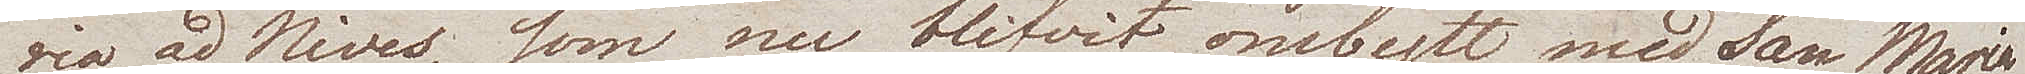ria ad Nives, som nu blifvit ombytt med San Maria
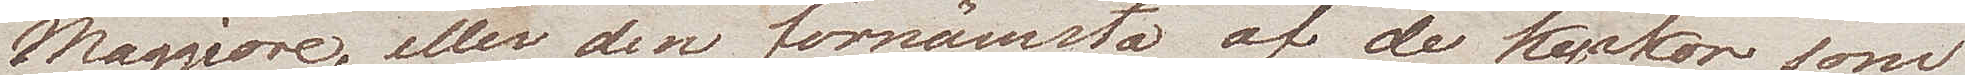Maggiore, eller den förnämsta af de kyrkor som
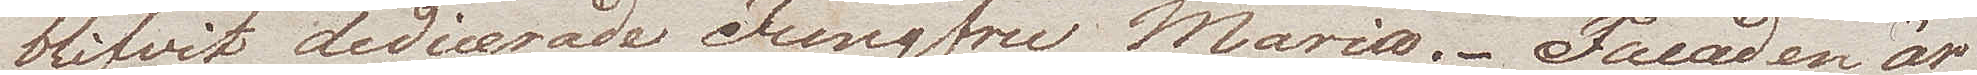blifvit dedicerade Jungfru Maria. Facaden är
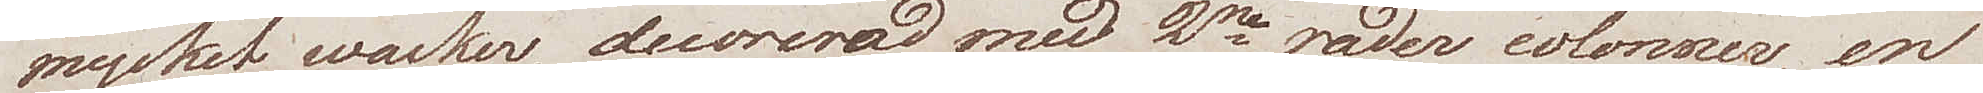mycket wacker, decorerad med 2ne rader colonner, en
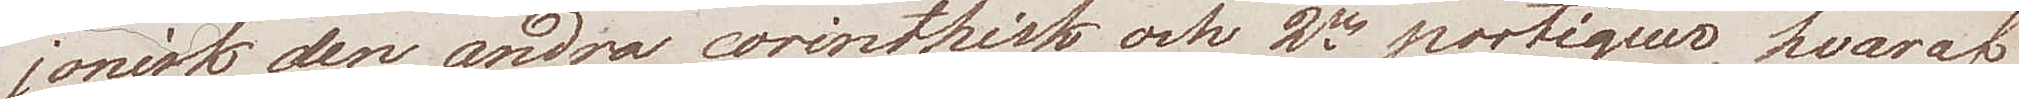jonisk den andra corinthisk, och 2ne portiquer, hvaraf 
